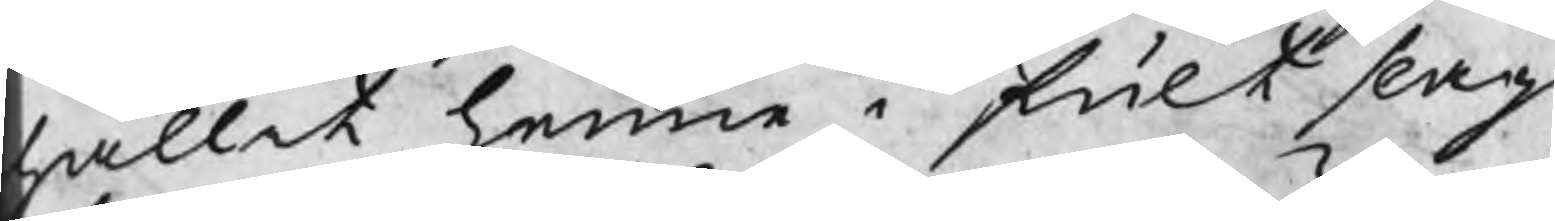hållit henne i fult slag
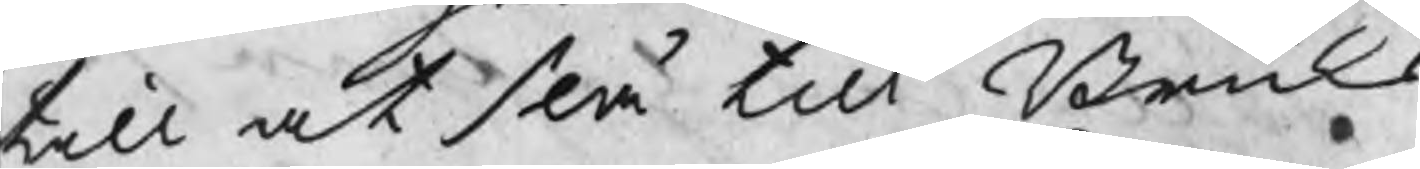till at slå till Bruks
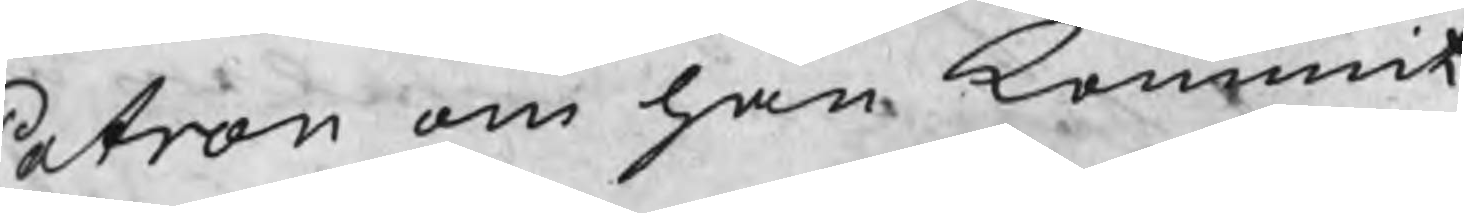Patron om han kommit
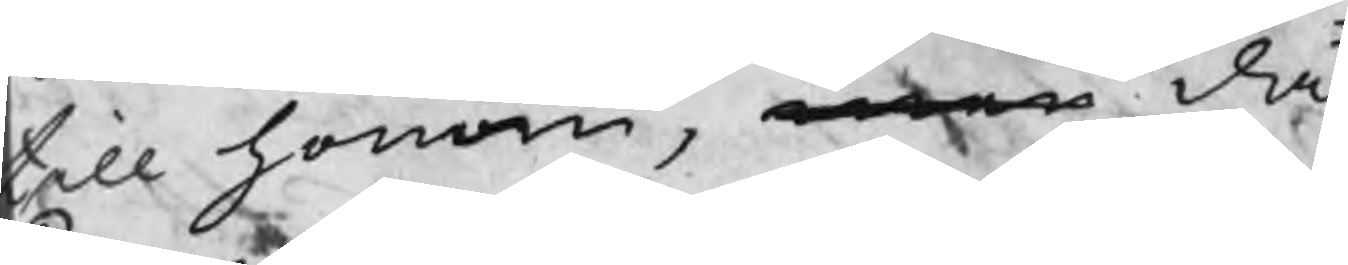till honom, men då
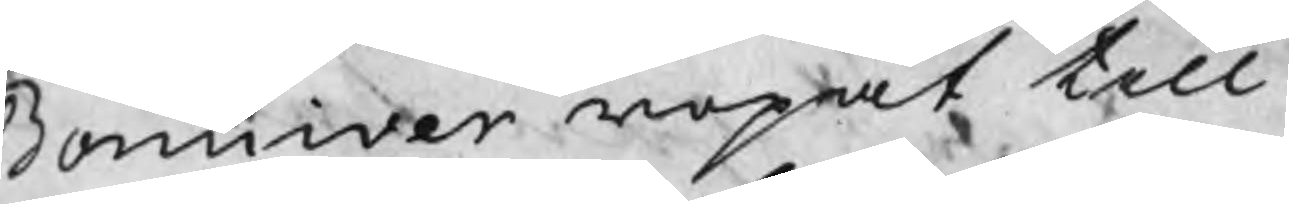Bonniver ropat till
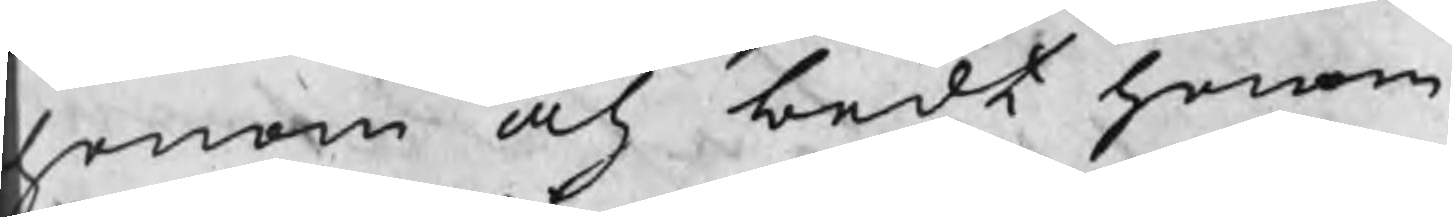honom och bedt honom
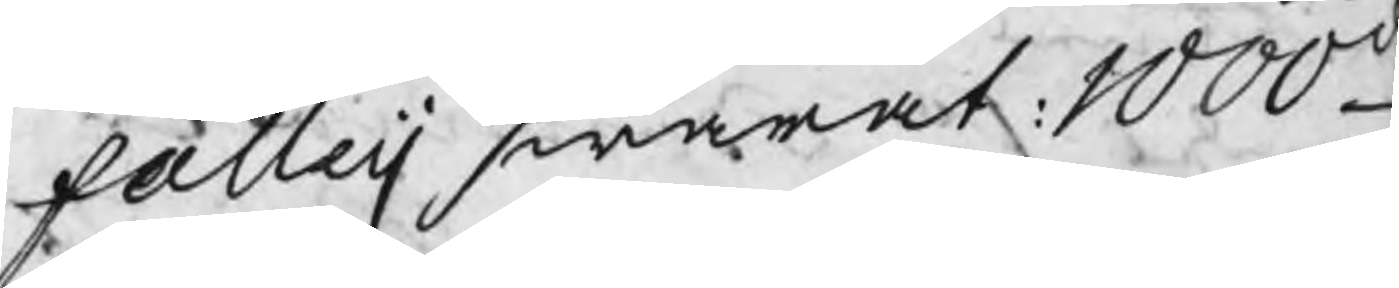falleij swarat: 1000d
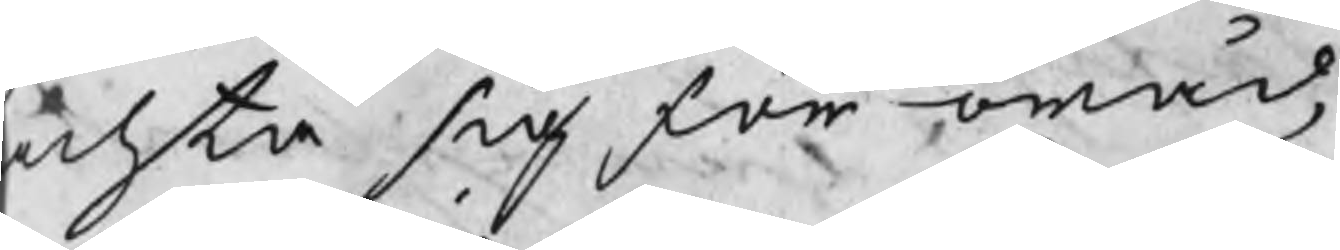achta sig för oråd,
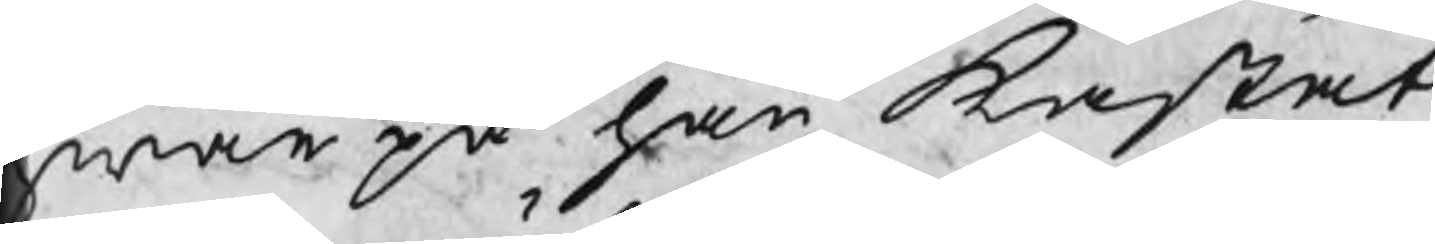hwarpå han kastat
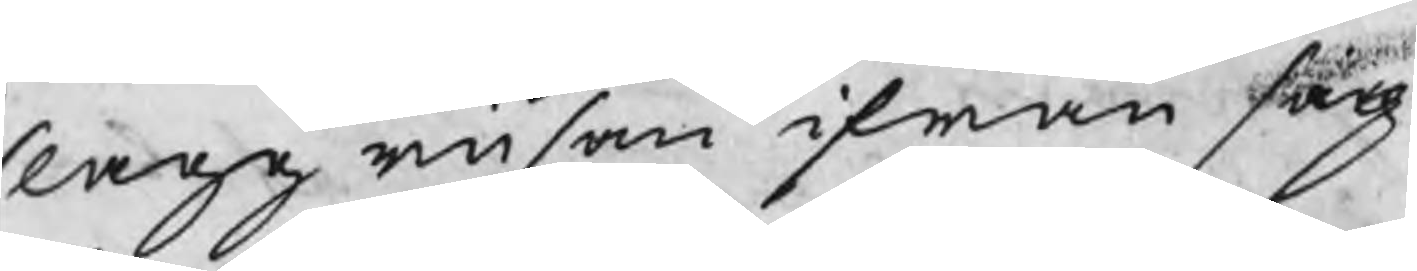slaggrusen ifrån sig
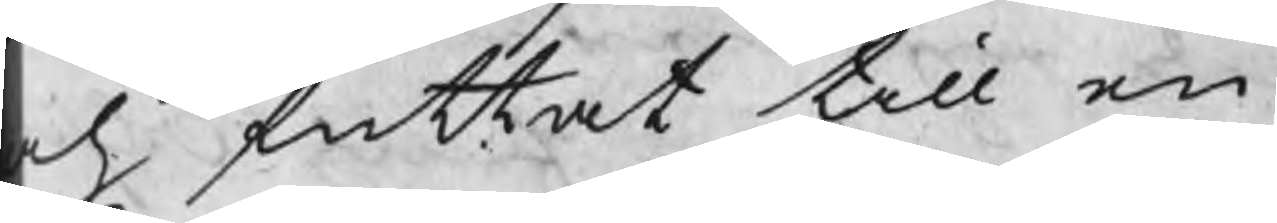ch futtat till en
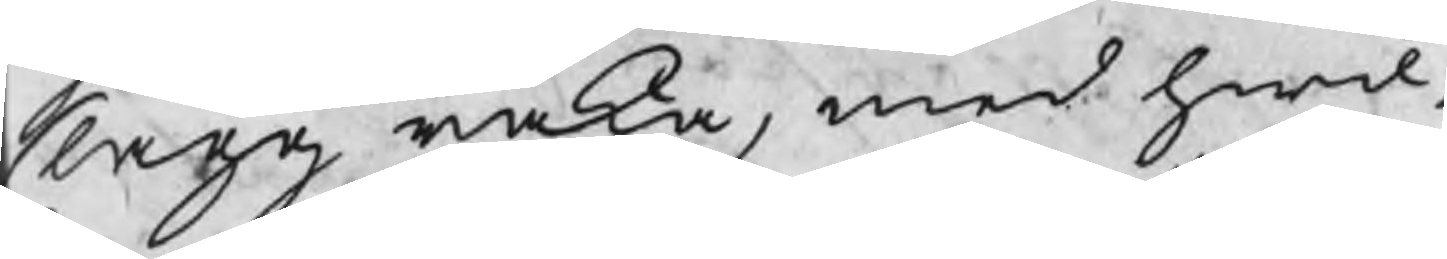slagg raka, med hwil¬
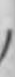du är stor i munnen,
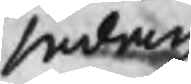sedan
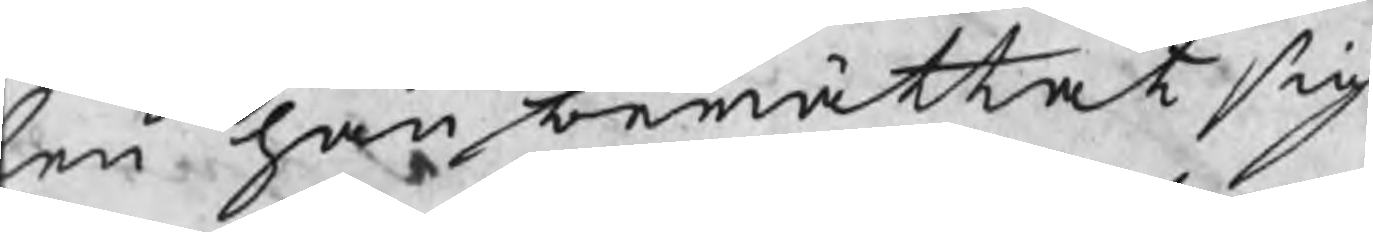en han berättat sig
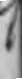det wore wäl giordt
